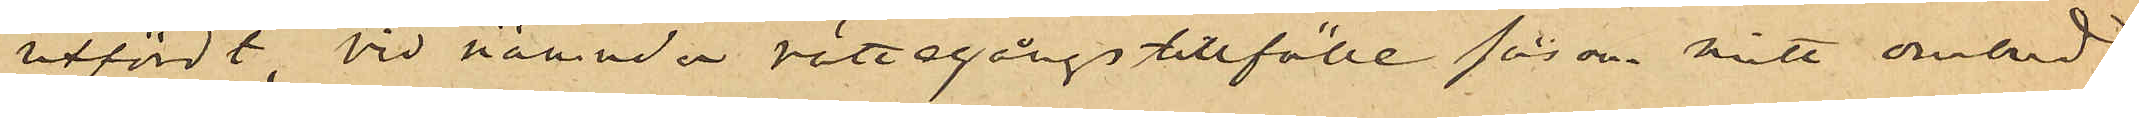utfördt, vid nämnde rättegångstillfälle såsom mitt ombud
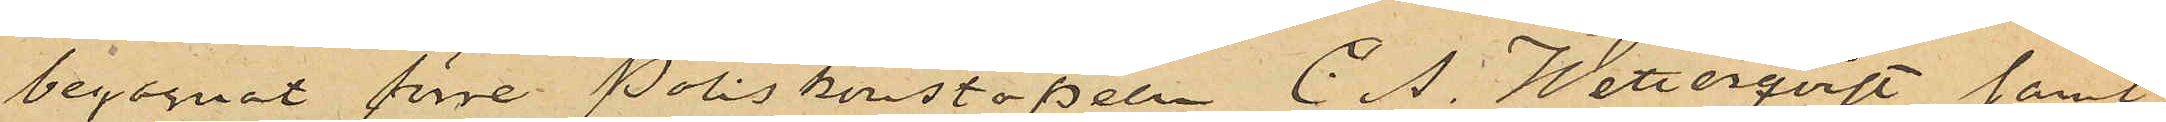begagnat förre Poliskonstapeln C. A. Wetterqvist, samt
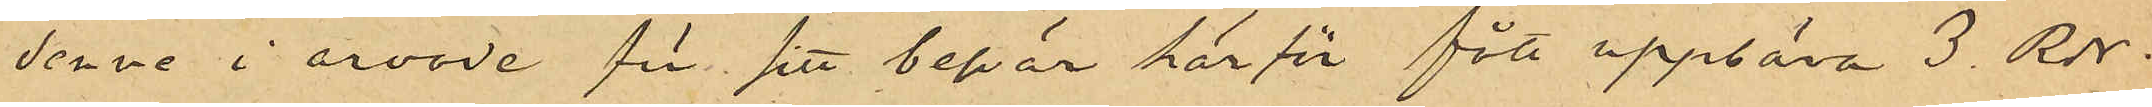denne i arvode för sitt besvär härför fått uppbära 3. Rdr.
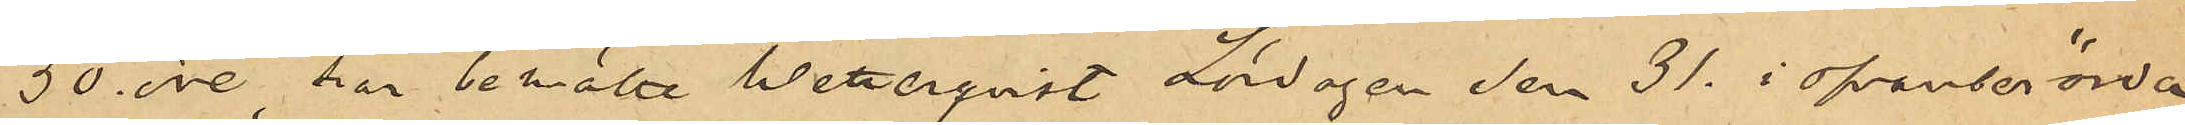50 öre, har bemälte Wetterqvist Lördagen den 31. i ofvanberörde
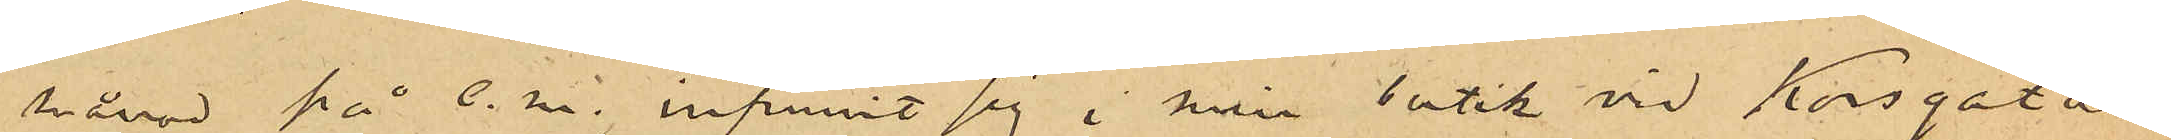månad på e.m. infunnit sig i min butik vid Korsgatan
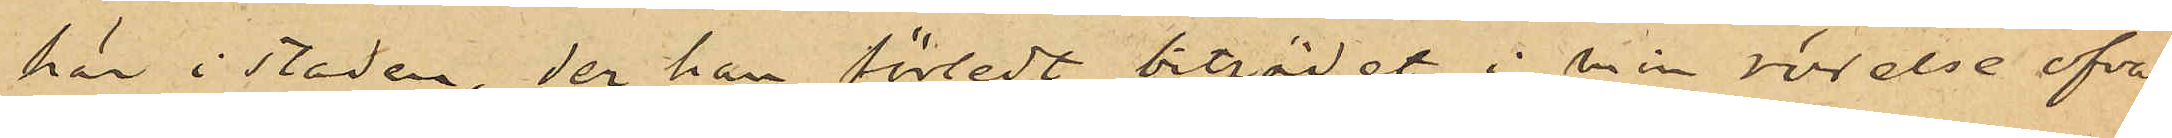här i staden, der han förledt biträdet i min rörelse ofvan¬
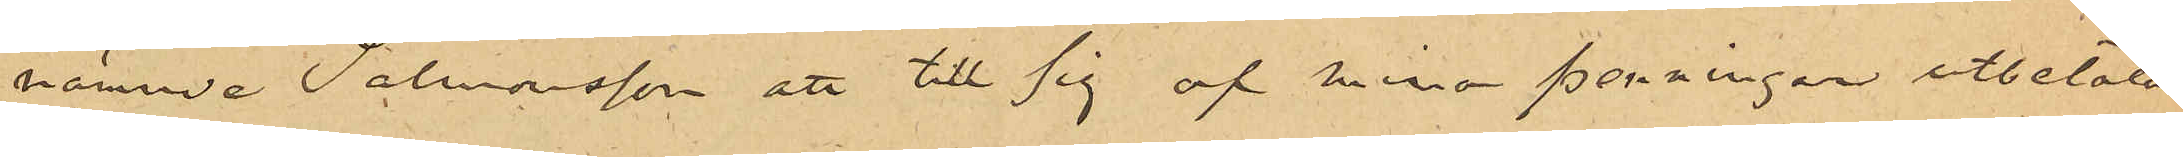nämnde Salomonsson att till sig af mina penningar utbetala
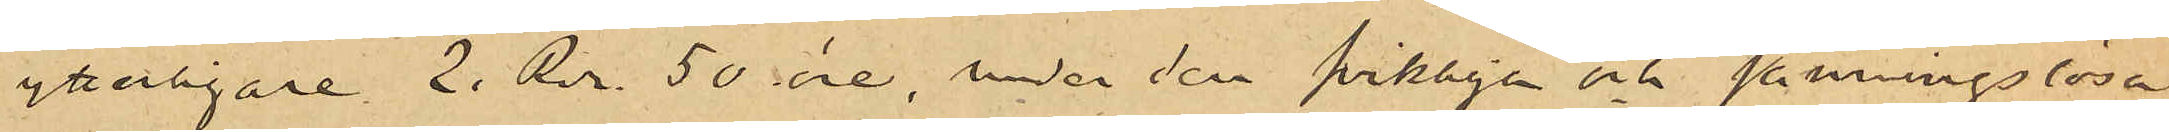ytterligare 2. Rdr 50 öre, under den svikliga och sanningslösa
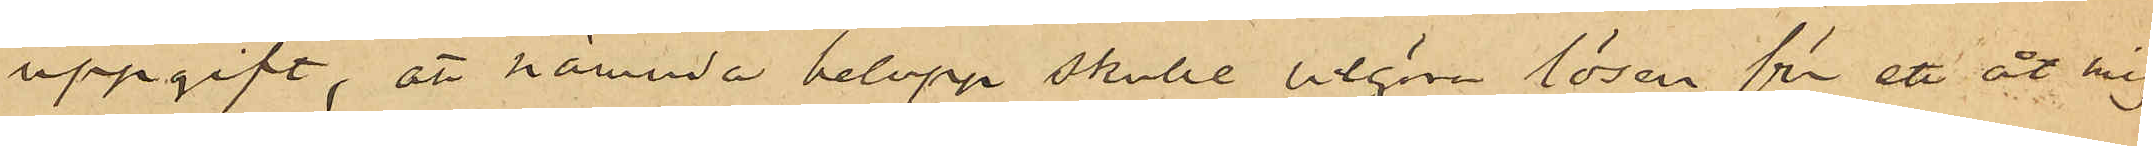uppgift, att nämnda belopp skulle utgöra lösen för ett åt mig
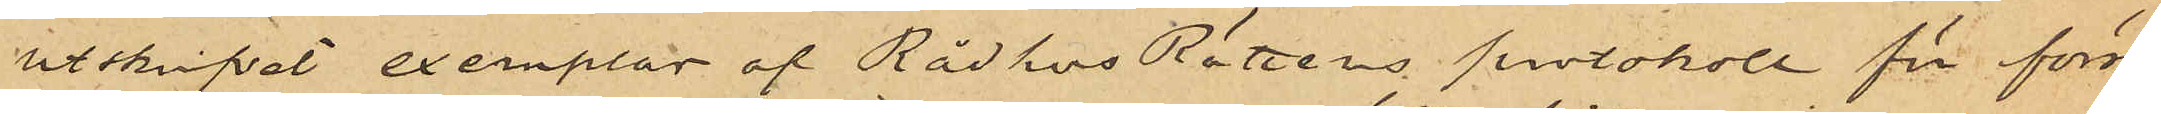utskrifvet exemplar af Rådhus Rättens protokoll för först¬
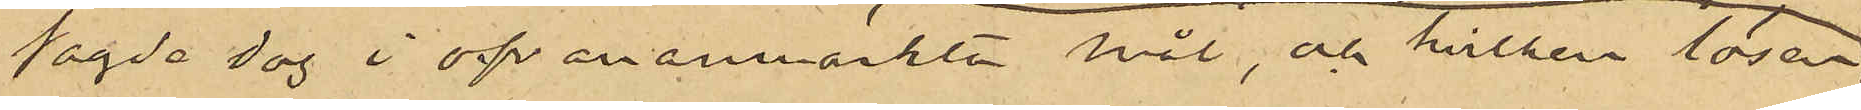sagde dag i ovananmärkte mål, och hvilken lösen
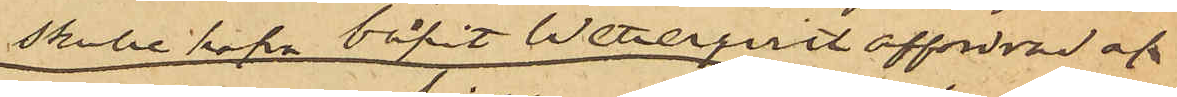skulle hafva blifvit Wetterqvist affordrad af
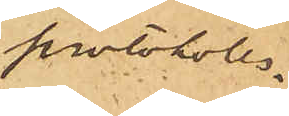protokoll¬
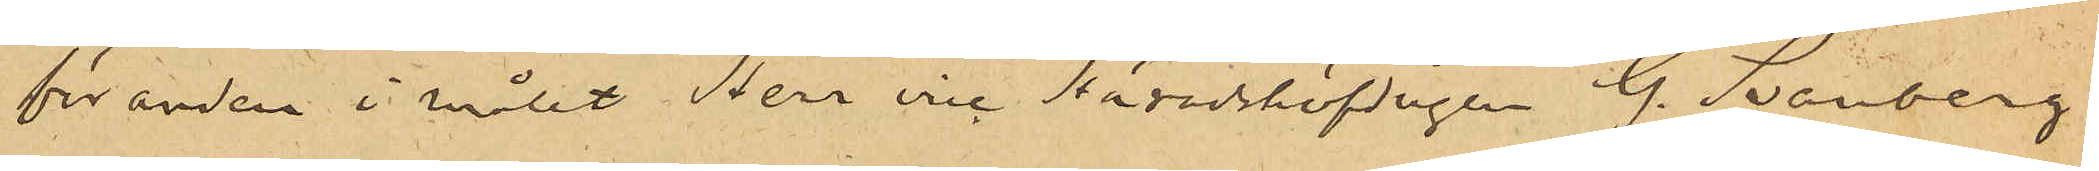föranden i målet, Herr vice Häradshöfdingen G. Svanberg,
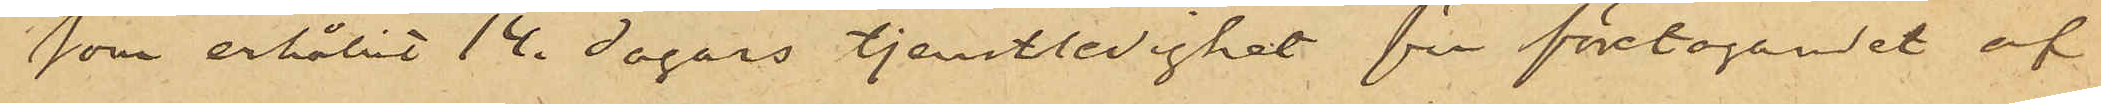som erhållit 14 dagars tjenstledighet för företagandet af
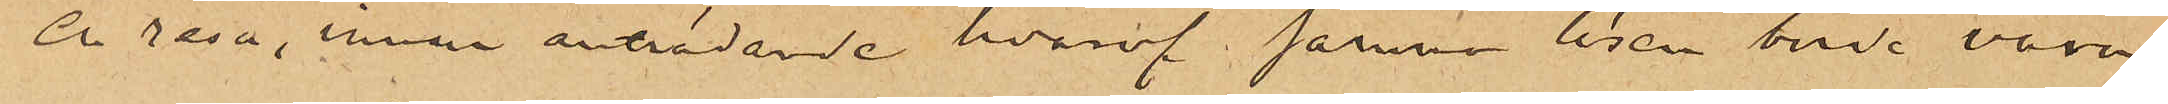en resa, innan anträdandet hvaraf samma lösen borde vara
